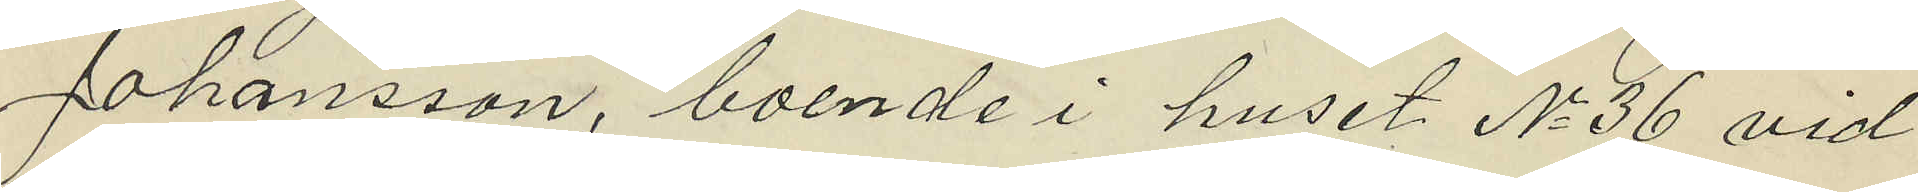Johansson, boende i huset No 36 vid
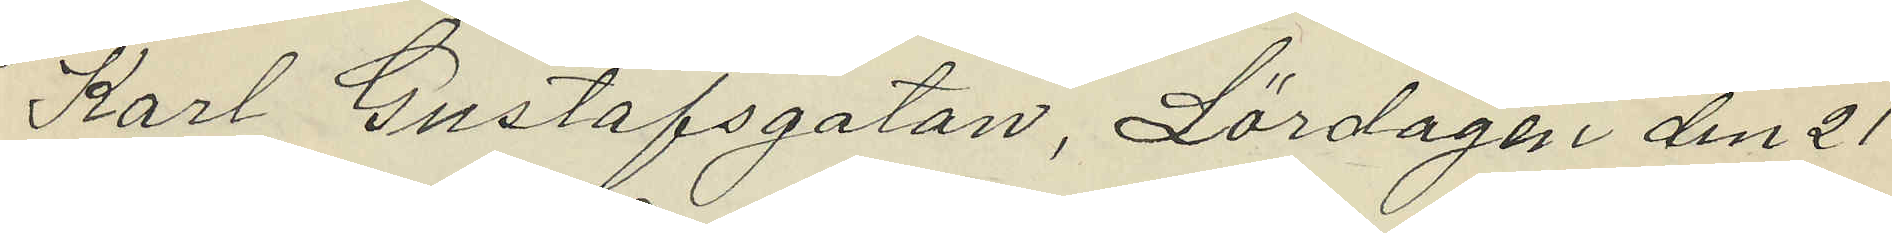Karl Gustafsgatan, Lördagen den 21
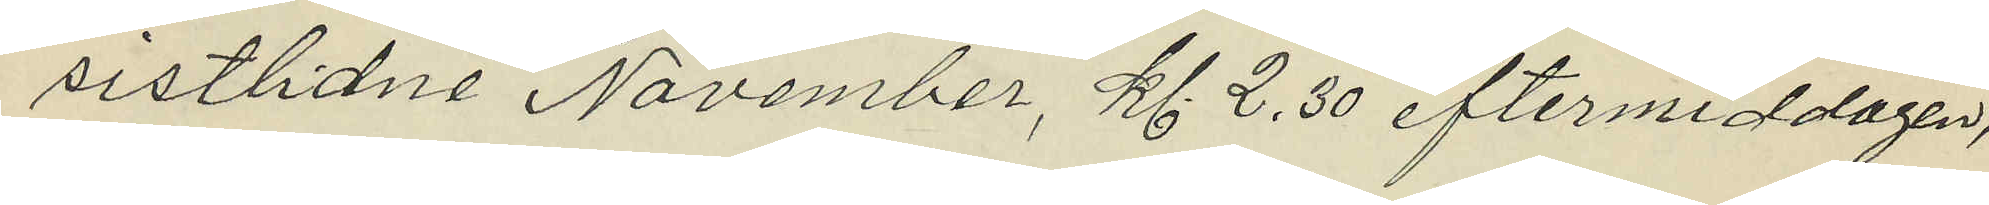sistlidne November, kl. 2,30 eftermiddagen,
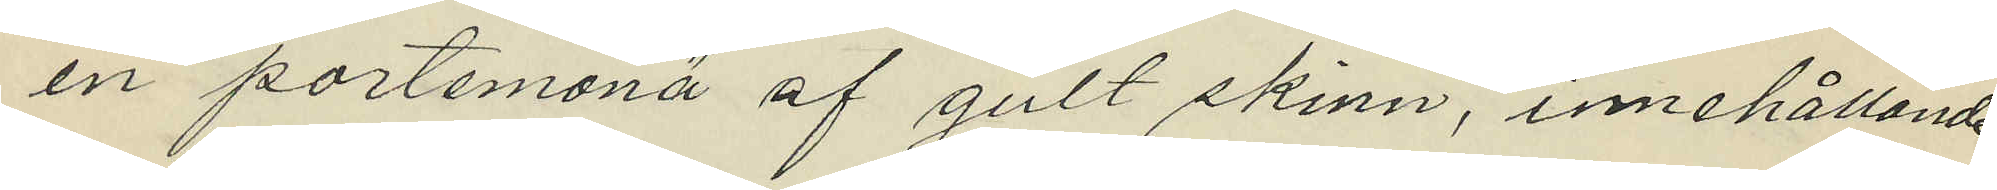en portemonä af gult skinn, innehållande
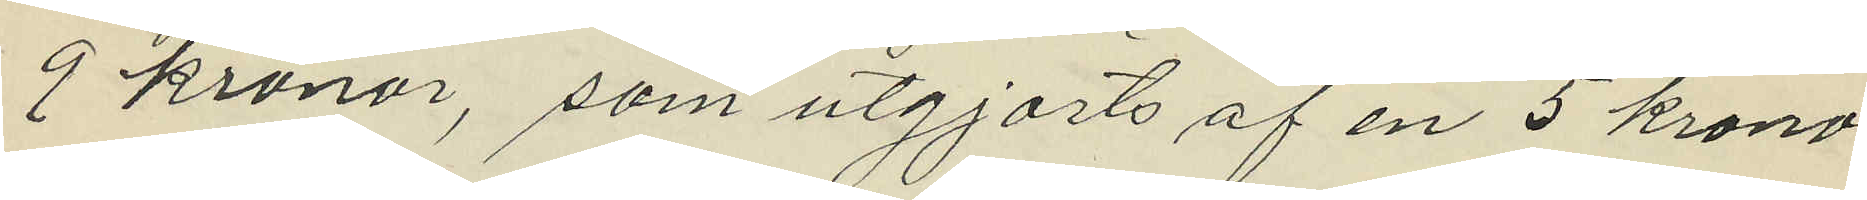9 kronor, som utgjorts af en 5 krono¬
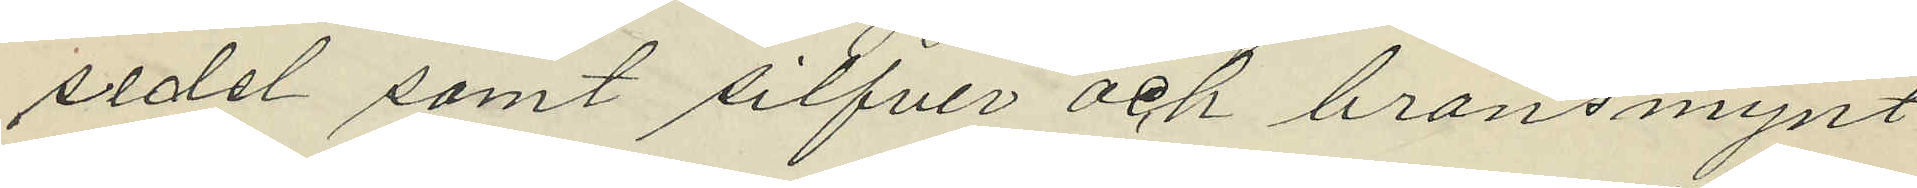sedel samt silfver och bronsmynt
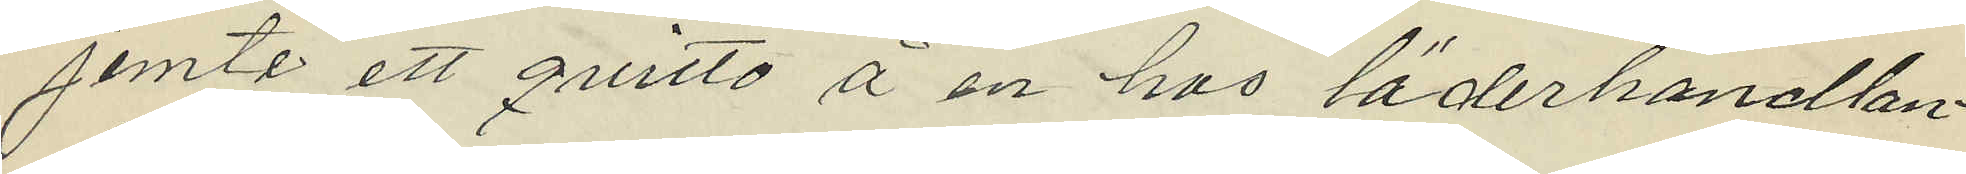jemte ett quitto å en hos läderhandlan¬
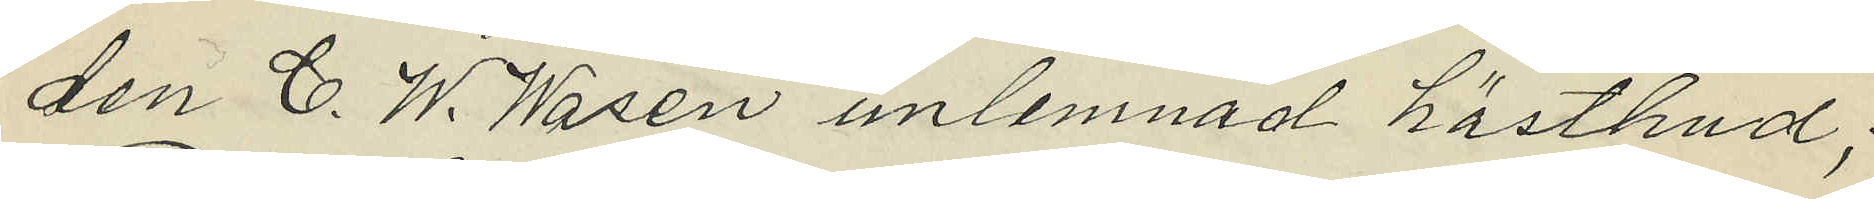den C. W. Wasén imlemnad hästhud;
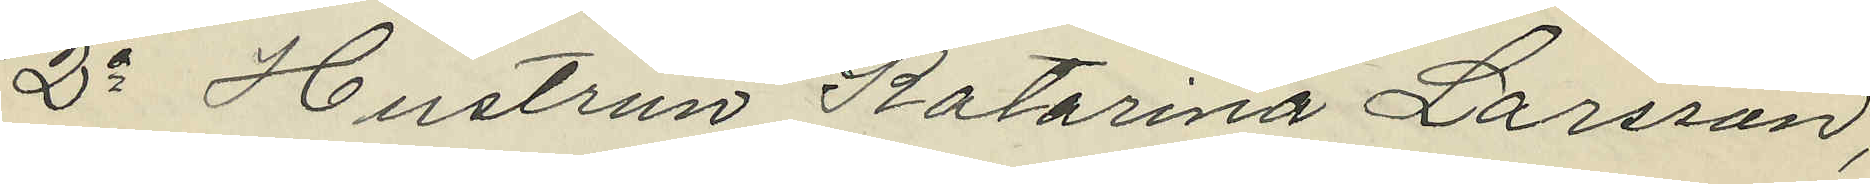2o Hustrun Katarina Larsson,
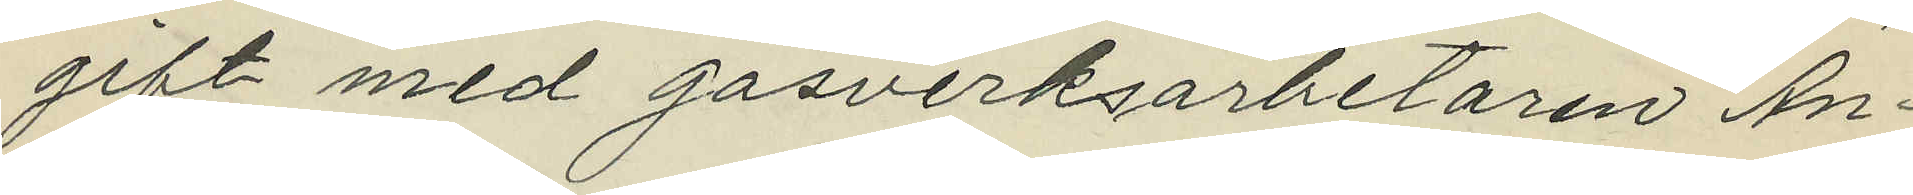gift med gasverksarbetaren An¬
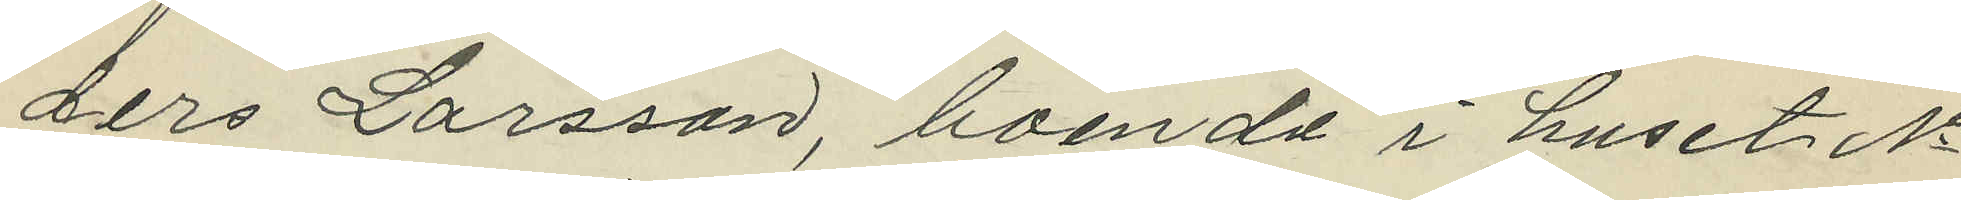ders Larsson, boende i huset No
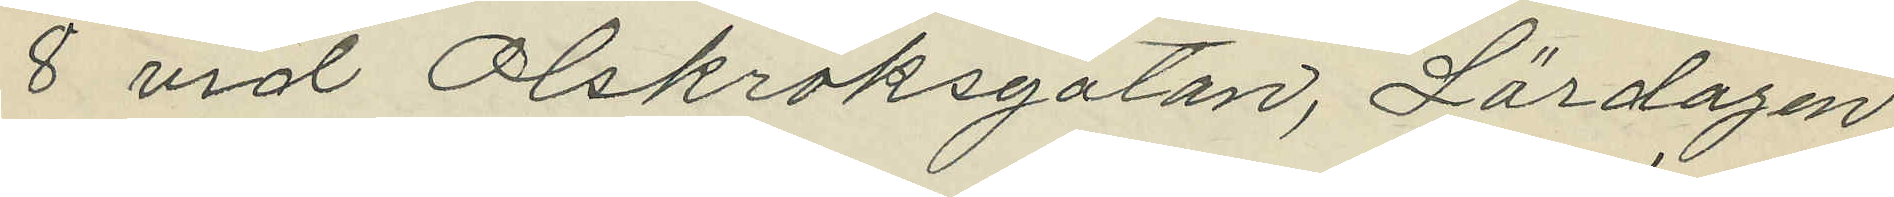8 vid Olskroksgatan, Lördagen
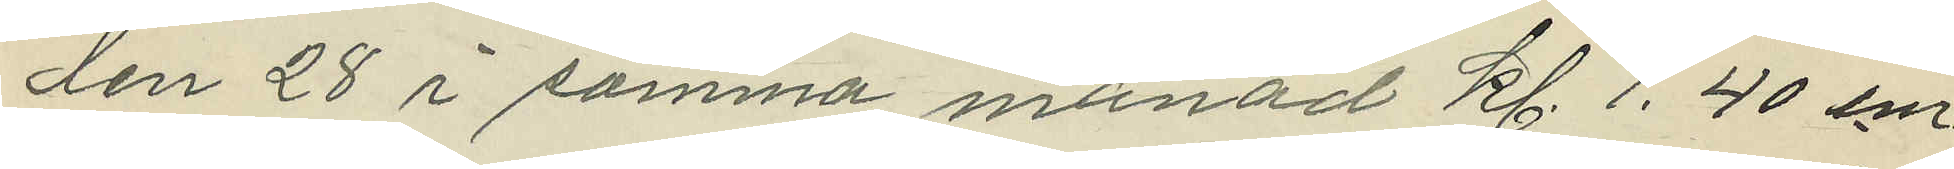den 28 i samma månad kl. 1.40 e.m.
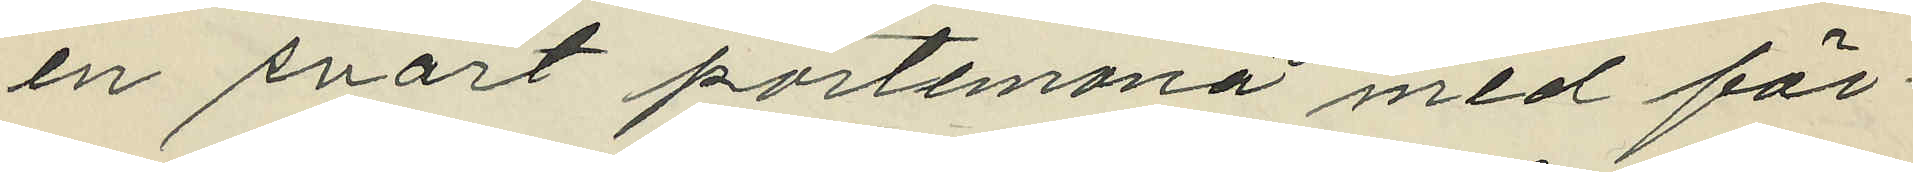en svart portemonä med för¬
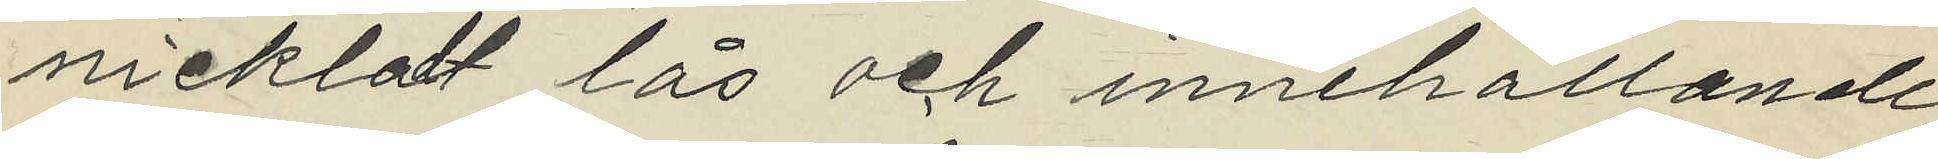nickladt lås och innehållande
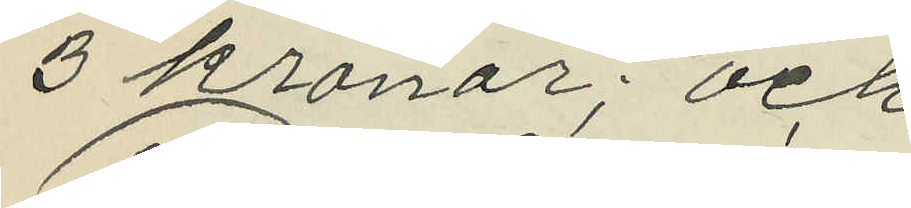3 kronor; och
